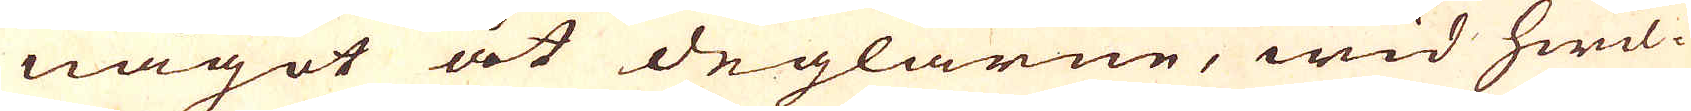något åt deglarne, wid hwil-
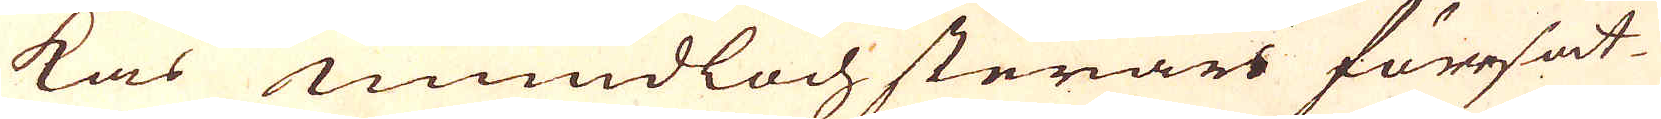kas mundloch stenar föresat-
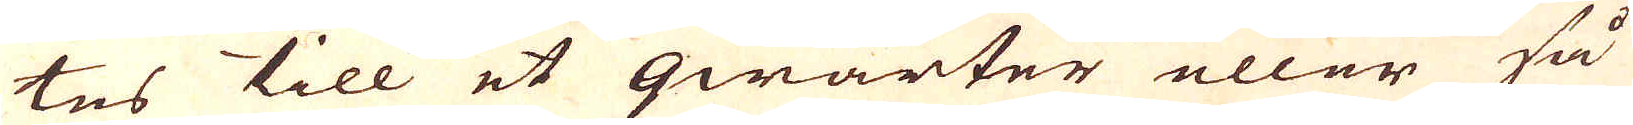tes till et qwarter eller så
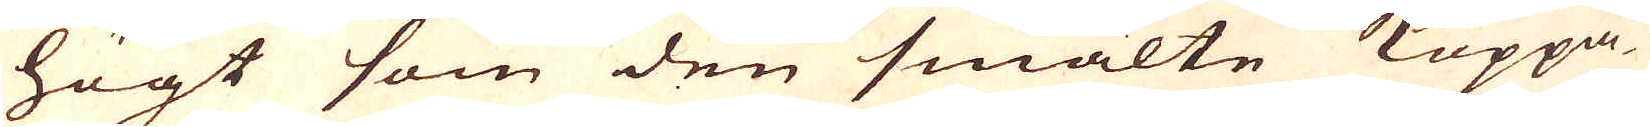högt som den smälte Koppa-
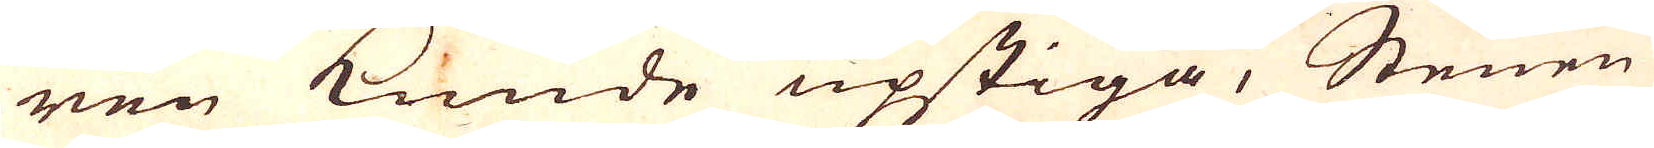ren kunde upstiga, Stenen
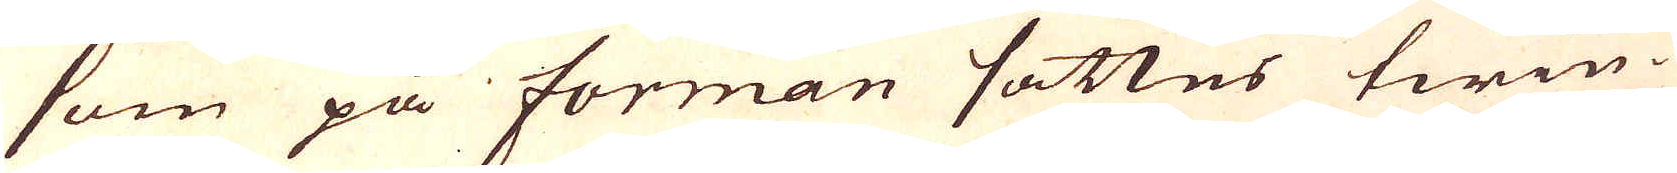som på forman sattes twin-
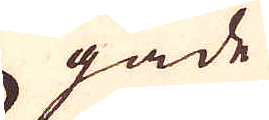gade
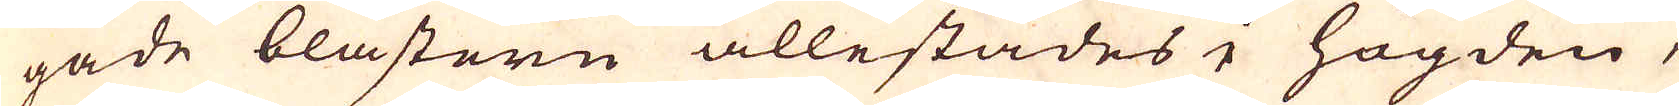gade blästern allestädes i högden,
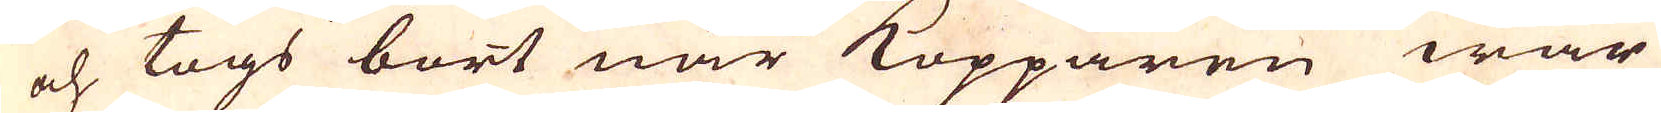och togs bort när Kopparen war
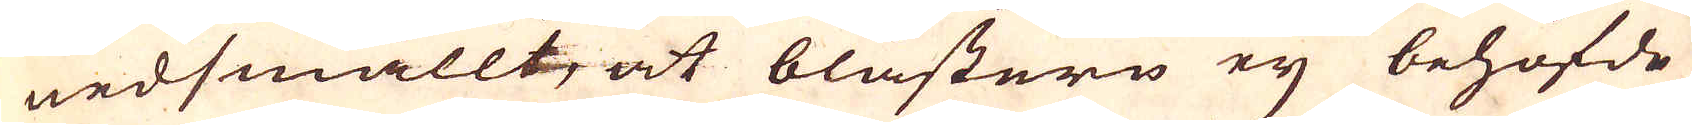nedsmällt, at blästern ey behöfde
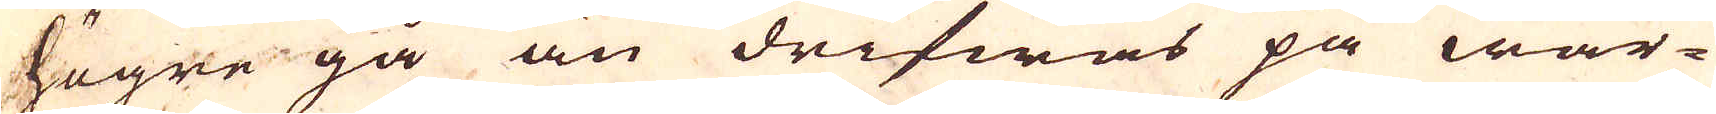högre gå än drifwas på wär-
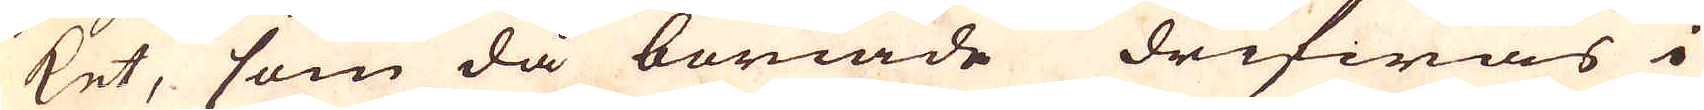ket, som då böriade drifwas i
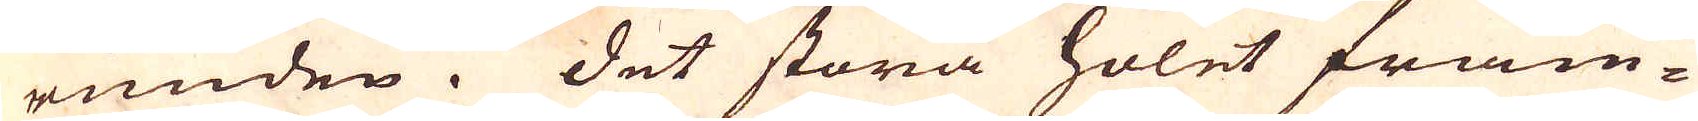runden. Det stora holet fram-
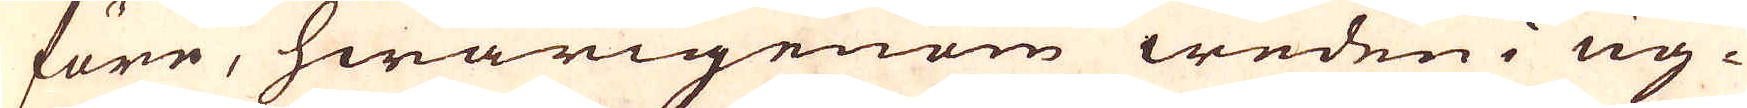före, hwarigenom weden i ug-
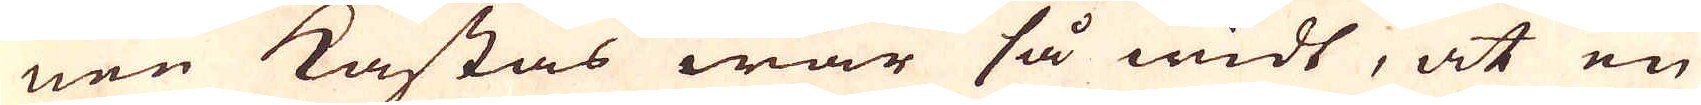nen kastas war så widt, at en
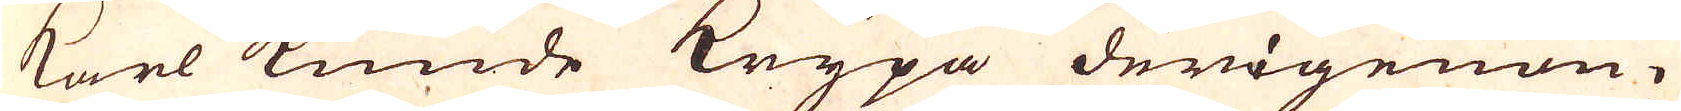karl kunde Krypa derigenom
